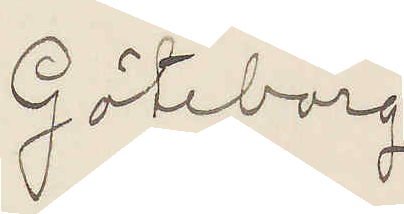Göteborg
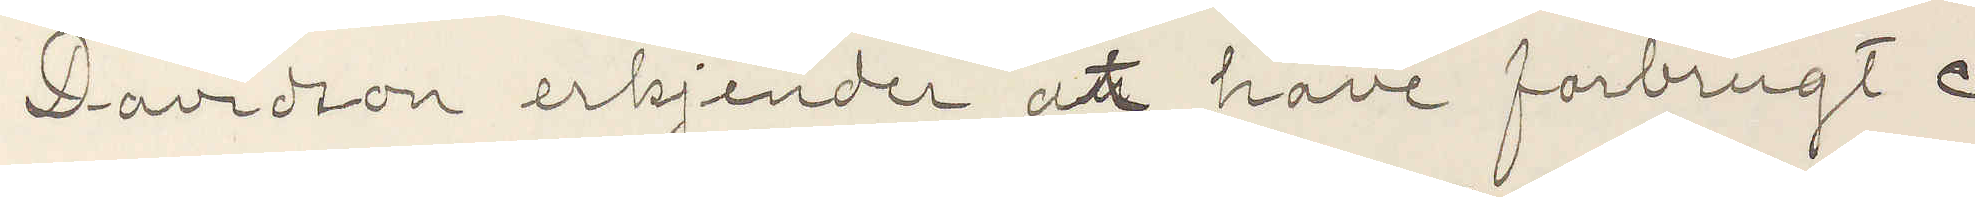Davidson erkjender at have forbrugt c
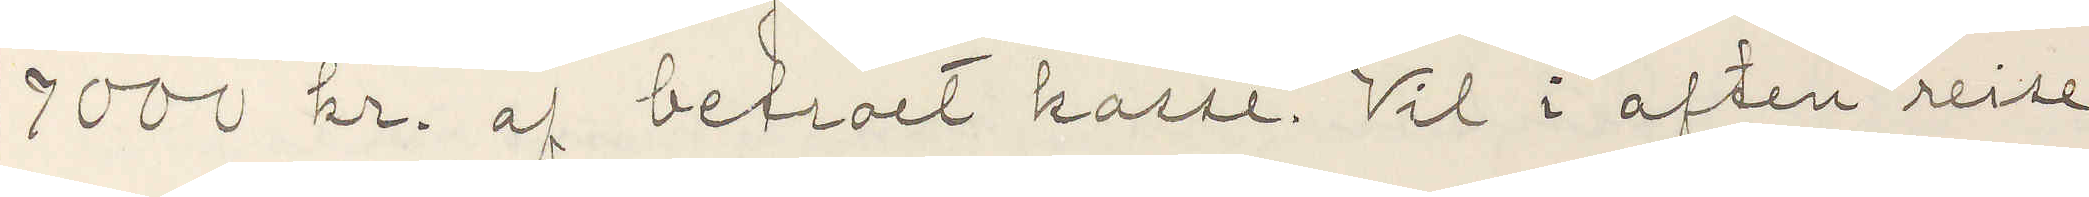7000 kr af betroet kasse. Vil i aften reise
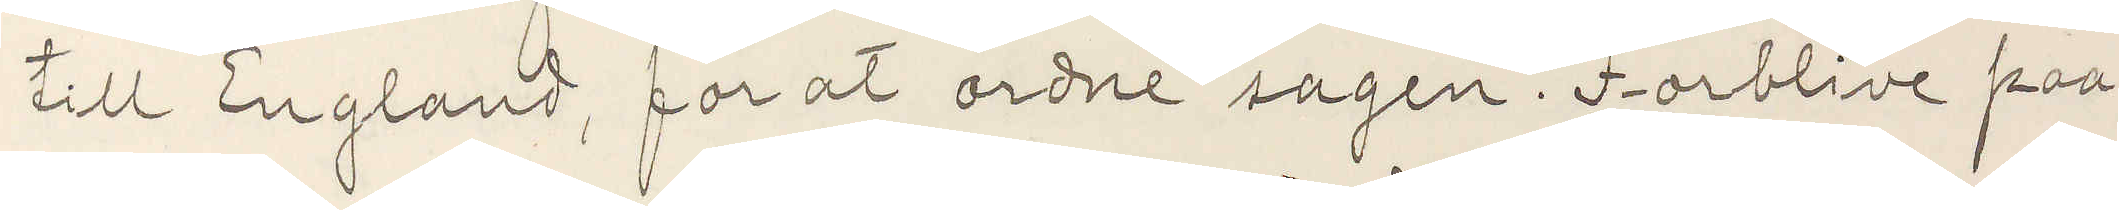till England, for at ordne sagen. Forblive paa
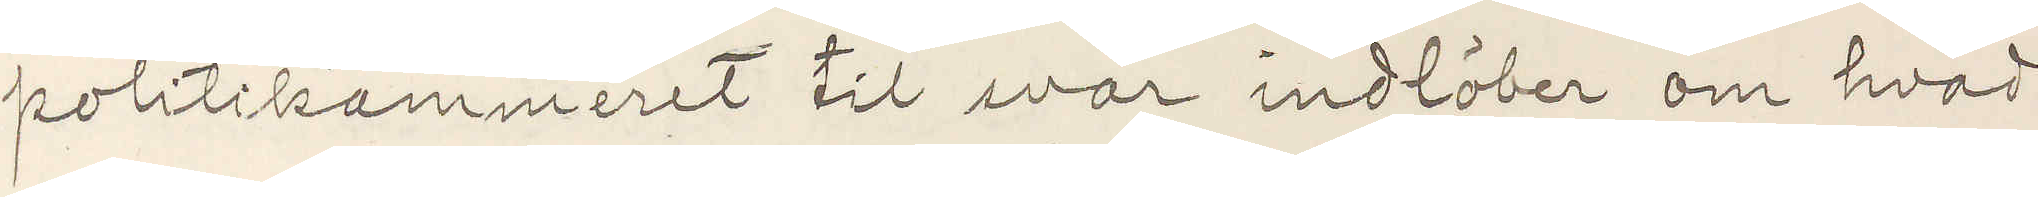politikammeret til svar indlöber om hvad
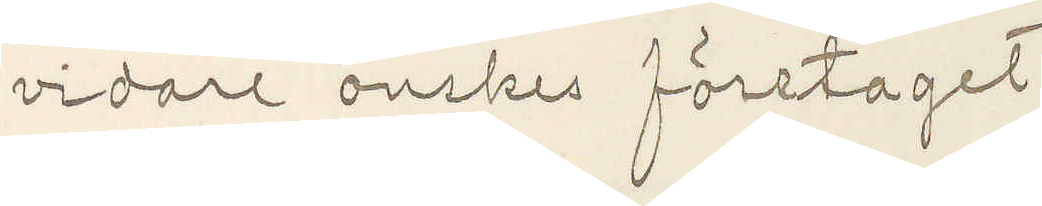vidare önskes företaget.
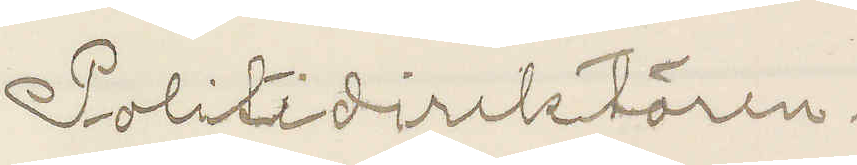Politidirektören.
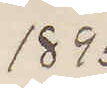1895
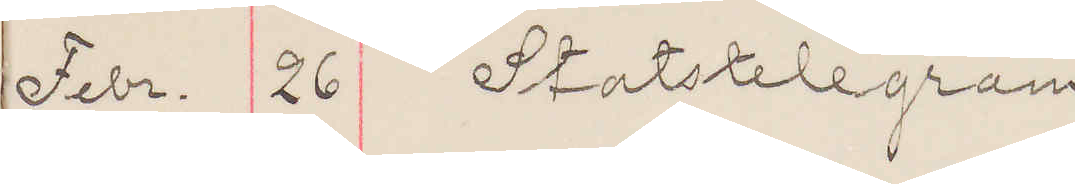Febr. 26 Statstelegram
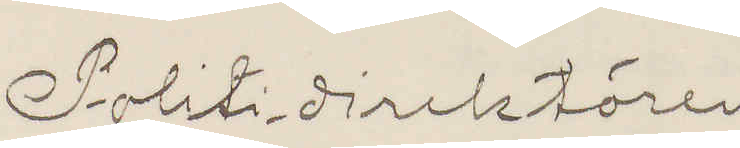Politidirektören
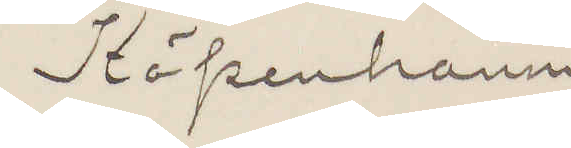Köpenhamn
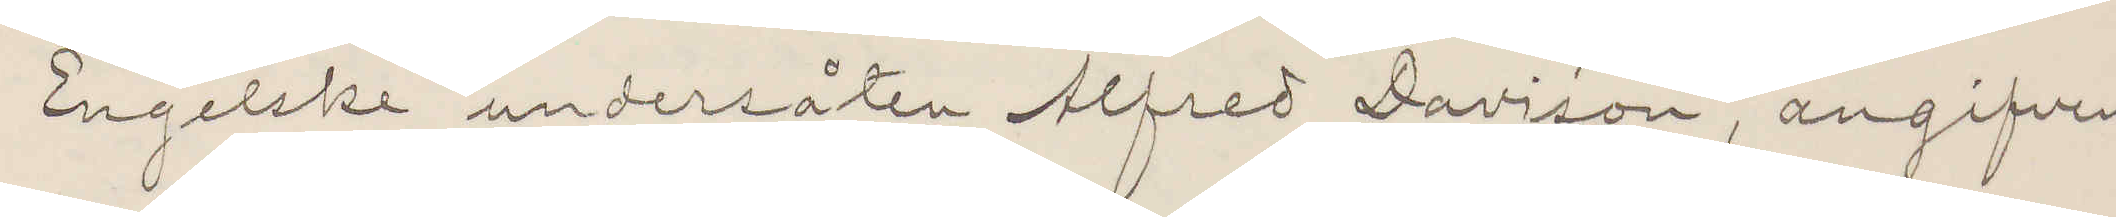Engelske undersåten Alfred Davison, angifven
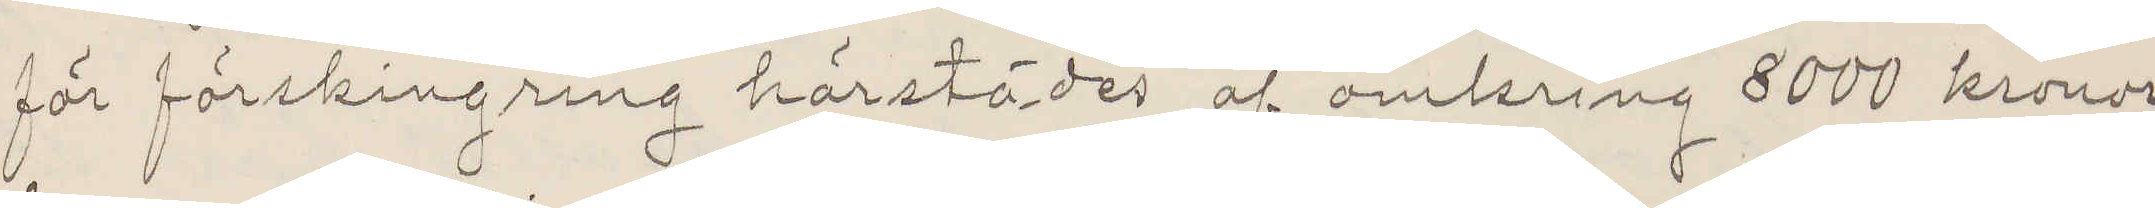för förskingring härstädes af omkring 8000 kronor
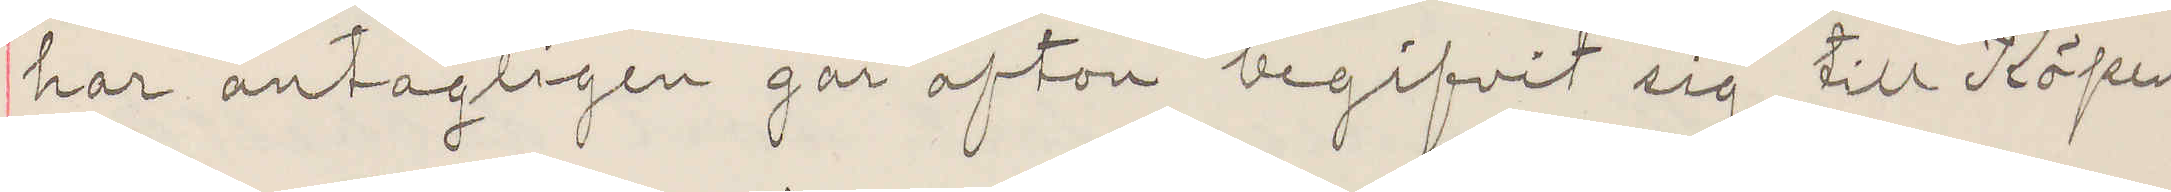har antagligen går afton begifvit sig till Köpen¬
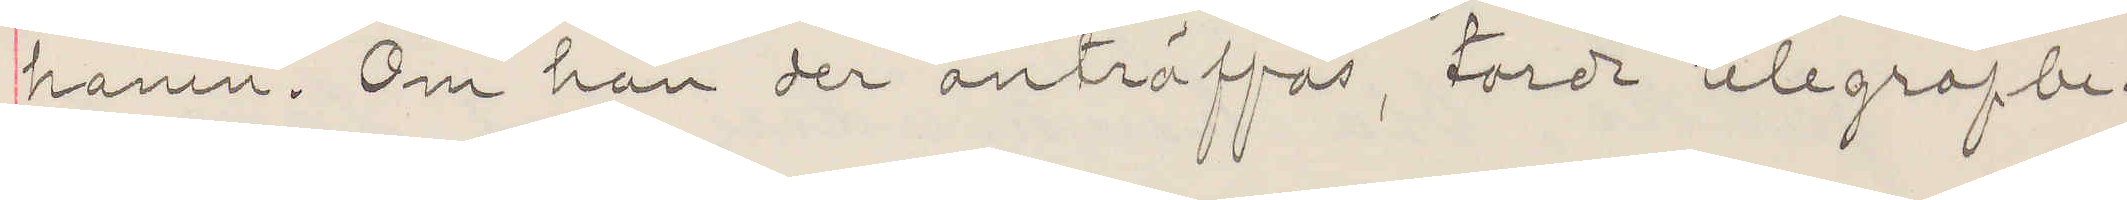hamn. Om han der anträffas, torde telegrafbe¬
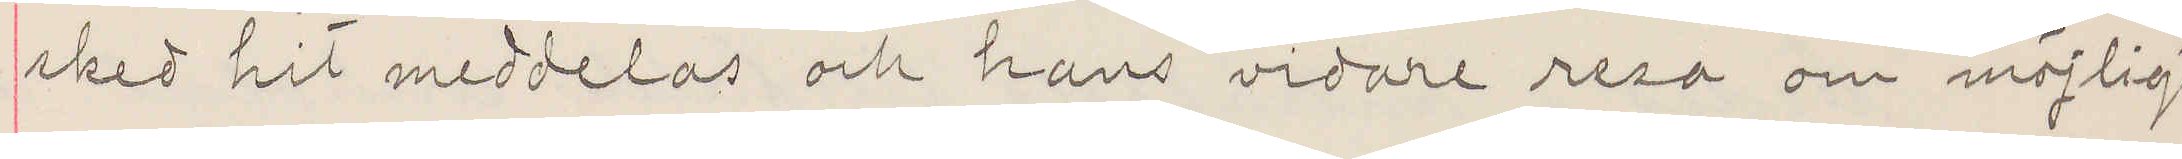sked hit meddelas och hans vidare resa om möjligt
